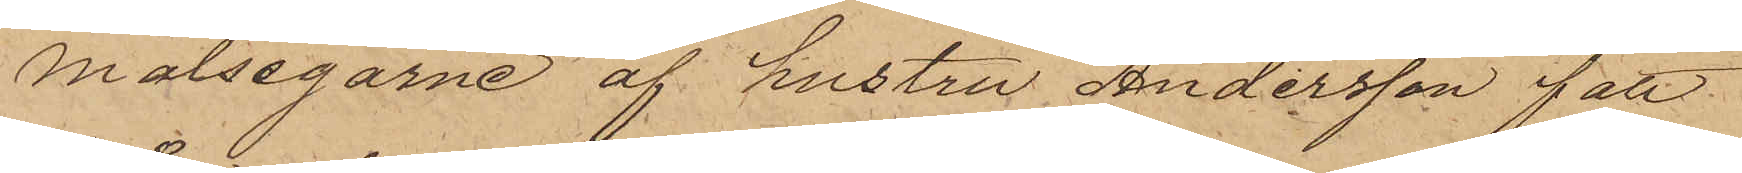målsegarne af hustru Andersson fått
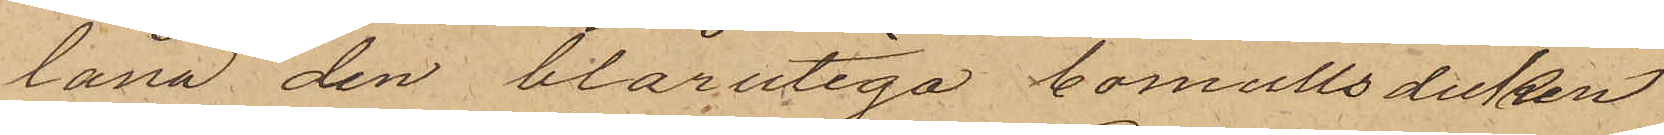låna den blårutiga bomullsduken
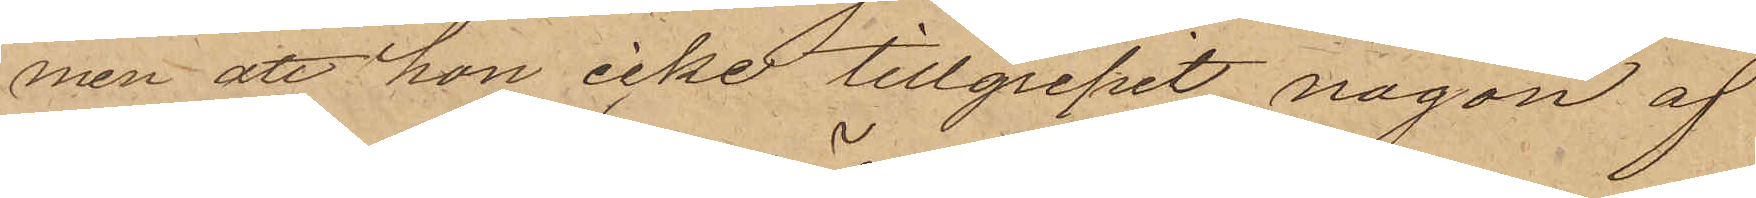men att hon icke tillgripit någon af
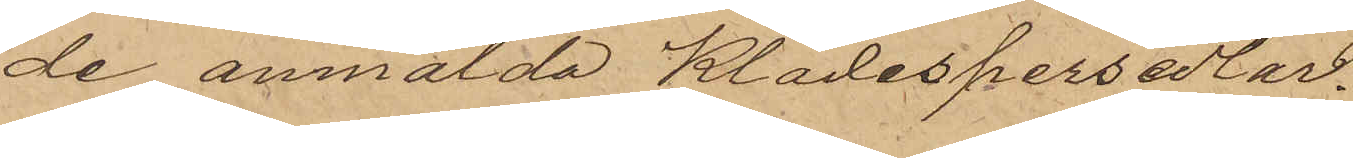de anmälda Klädespersedlar.
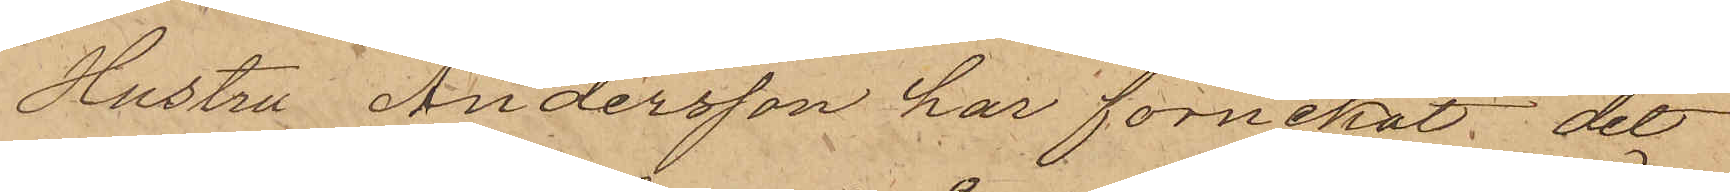Hustru Andersson har förnekat det
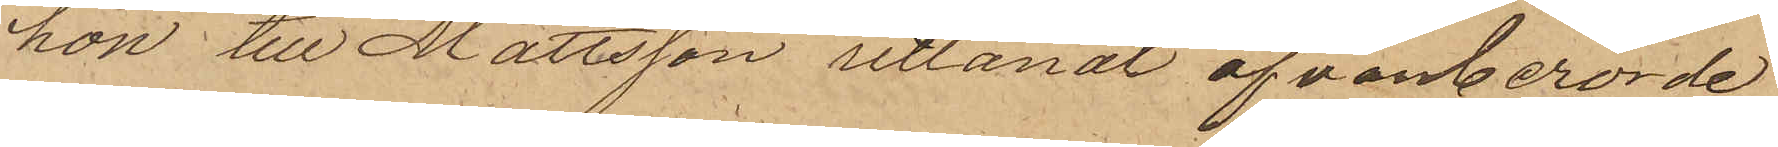hon till Mattsson utlånat ofvanberörde
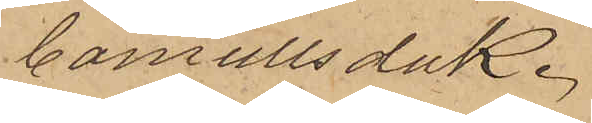bomullsduk.
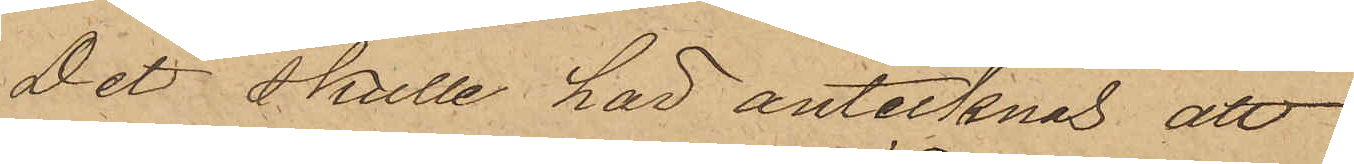Det skulle här antecknas att
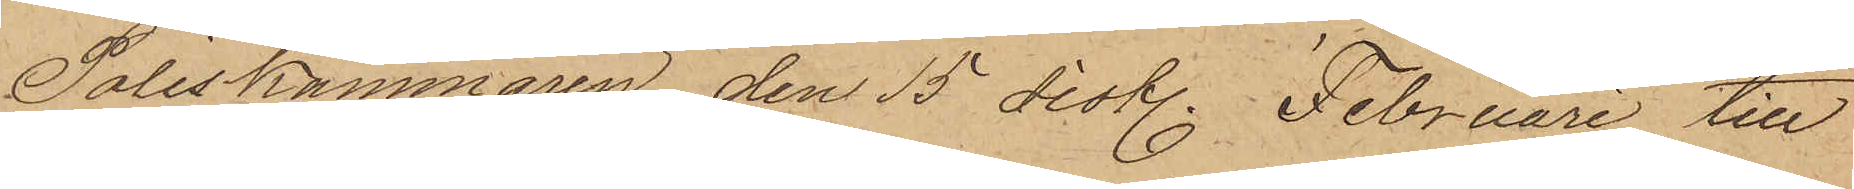Poliskammaren den 15 sistl. Februari till
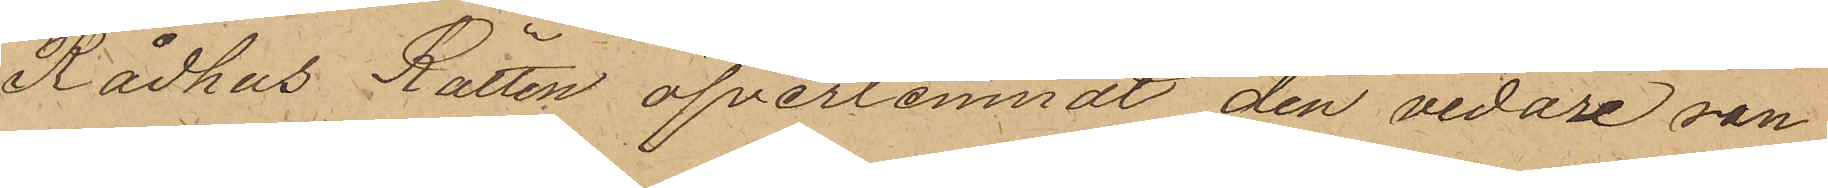Rådhus Rätten öfverlemnat den vidare ran¬
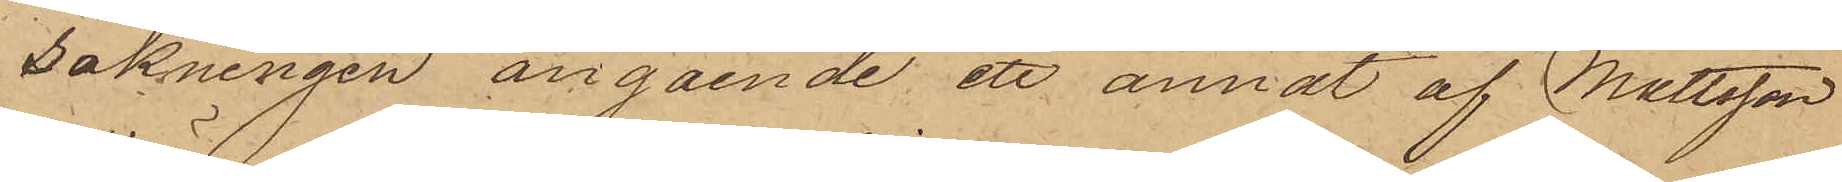sakningen angående ett annat af Mattsson
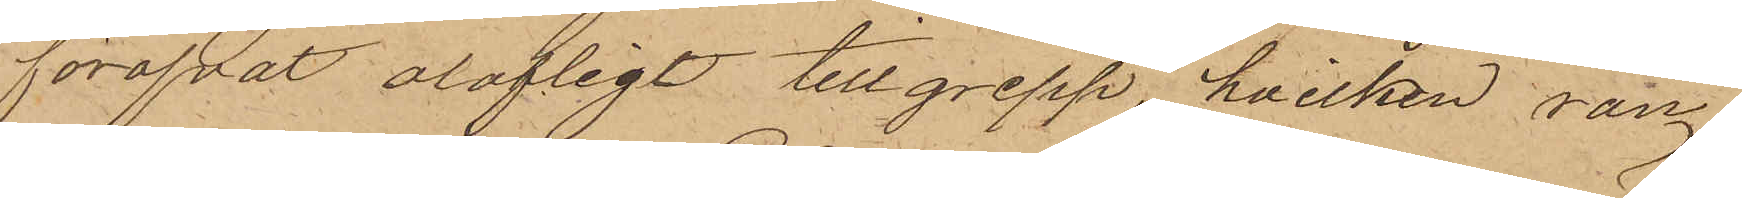föröfvat olofligt tillgrepp, hvilken ran¬
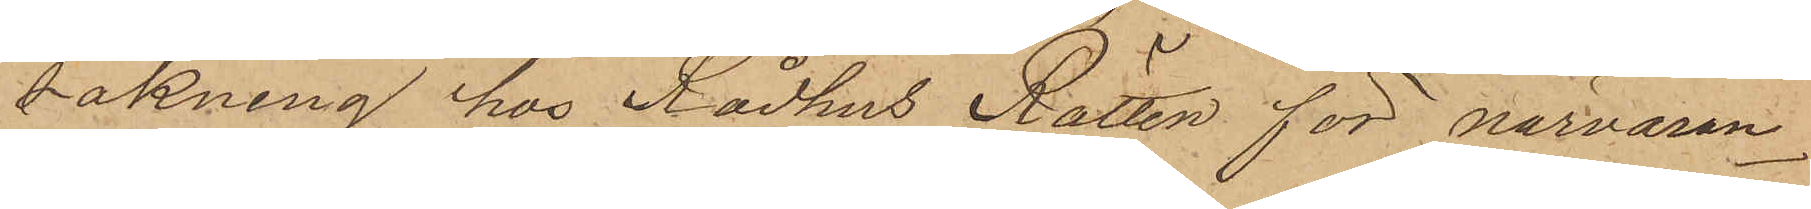sakning hos Rådhus Rätten för närvaran¬
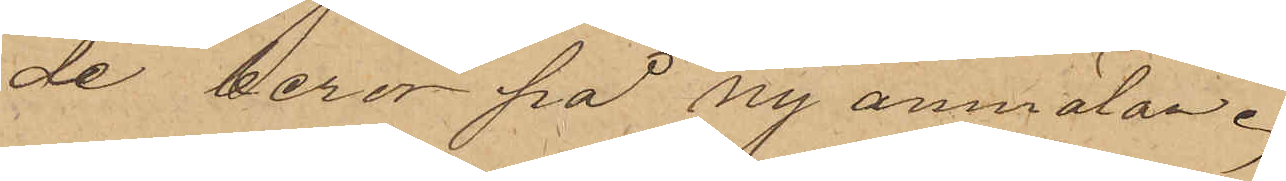de beror på ny anmälan.
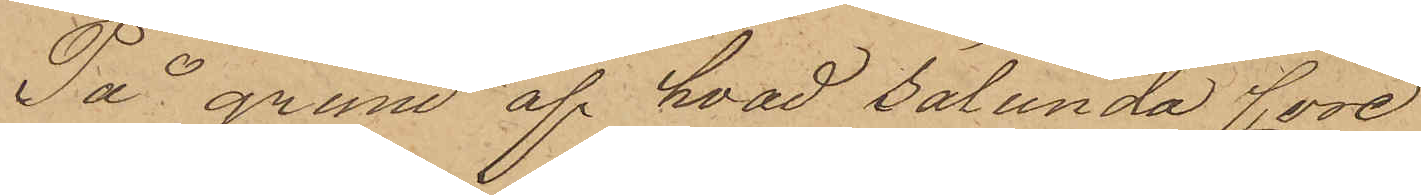På grund af hvad sålunda före¬
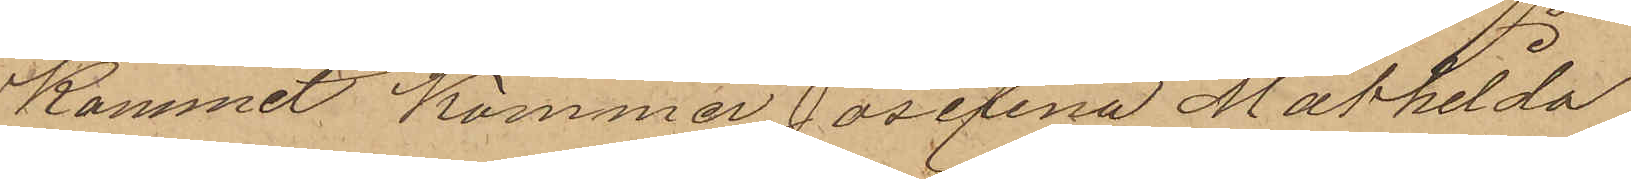Kommit Kommer Josefina Mathilda
